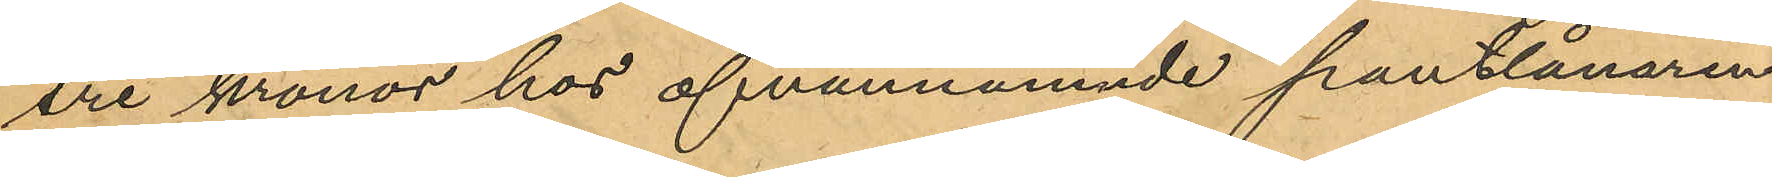tre kronor hos ofvannämnde pantlånaren
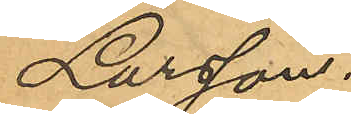Larsson.
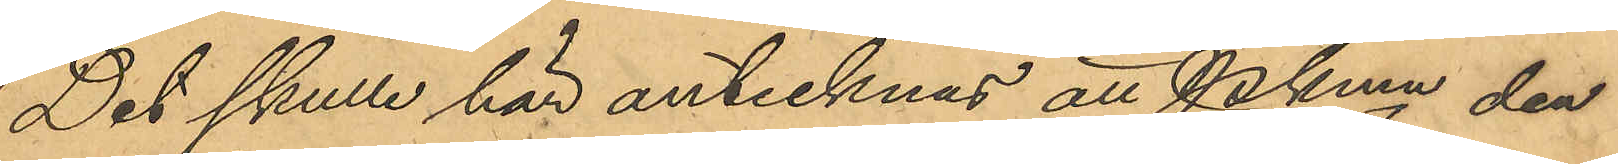Det skulle här antecknas att Pkmn den
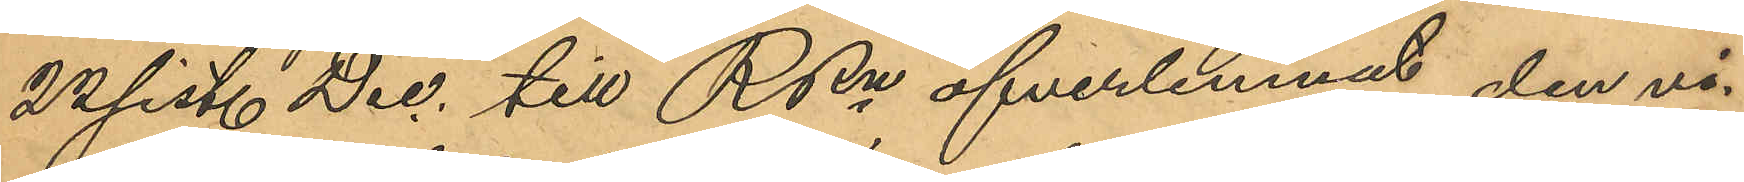22 sist. Dec. till RRn öfverlemnat den vi¬
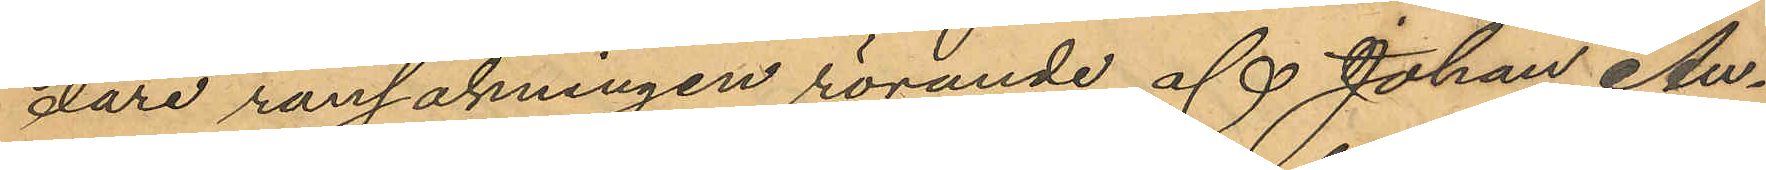dare ransakningen rörande af Johan Au¬
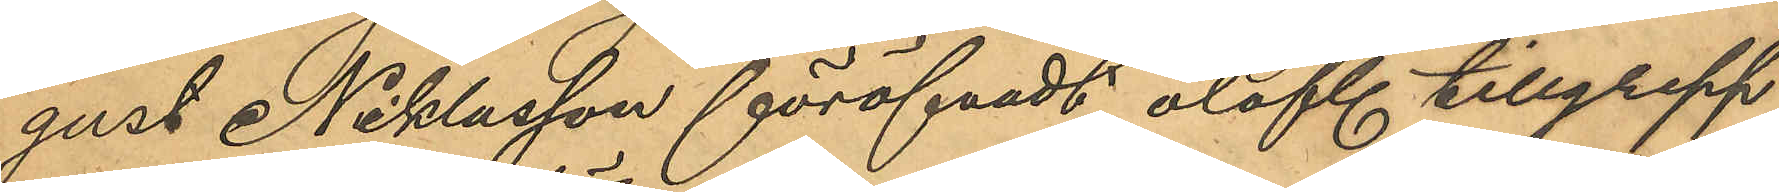gust Niklasson föröfvadt olofl tillgrepp
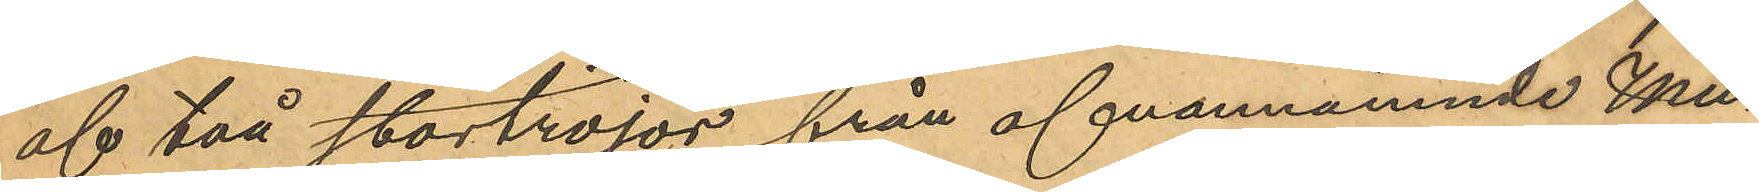af två stortröjor från ofvannämnde Mu¬
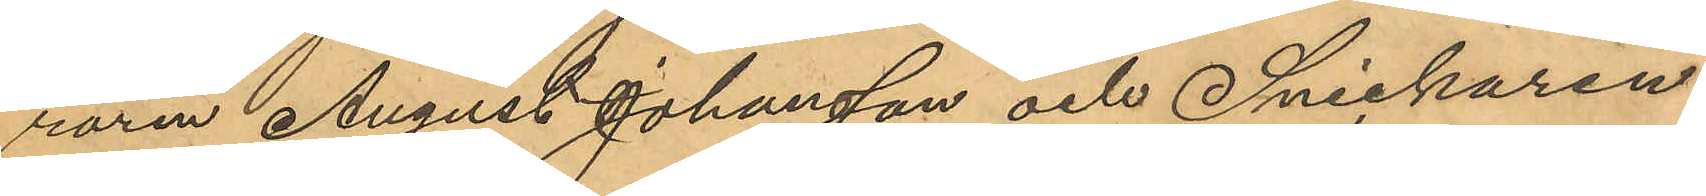raren August Johansson och Snickaren
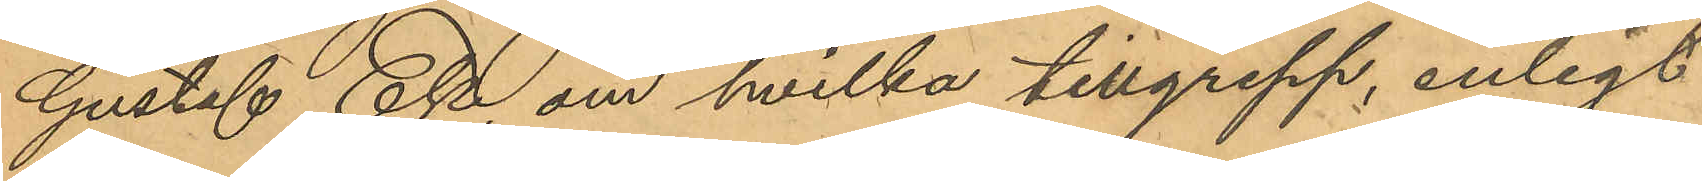Gustaf Ek, om hvilka tillgrepp, enligt
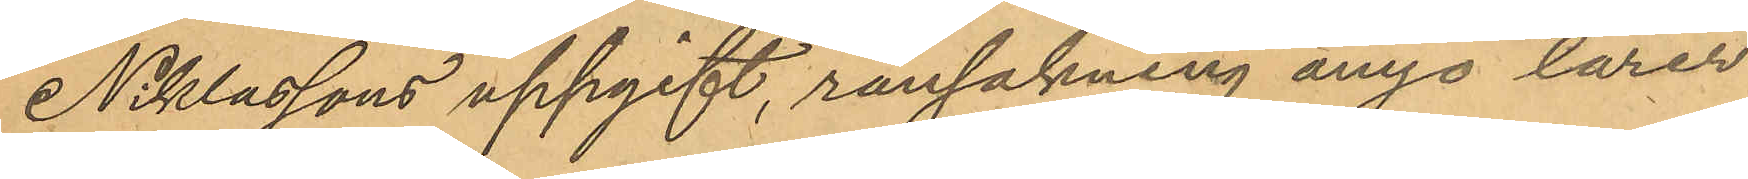Niklassons uppgift, ransakning ånyo lärer
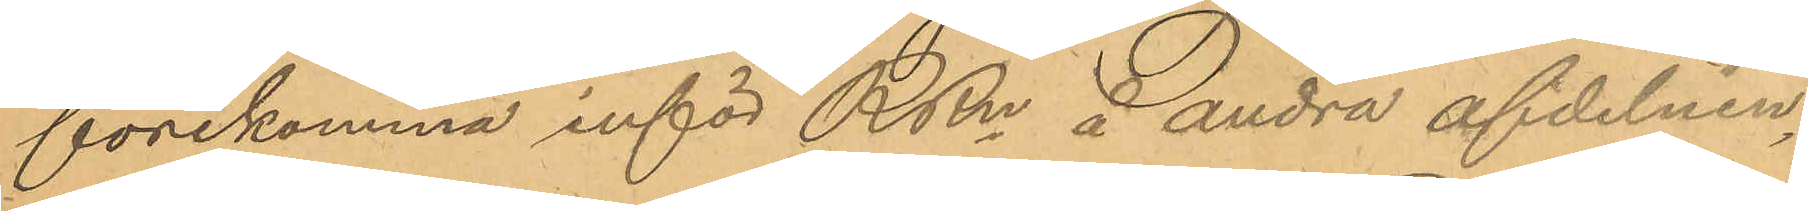förekomma inför RRn å andra afdelnin¬
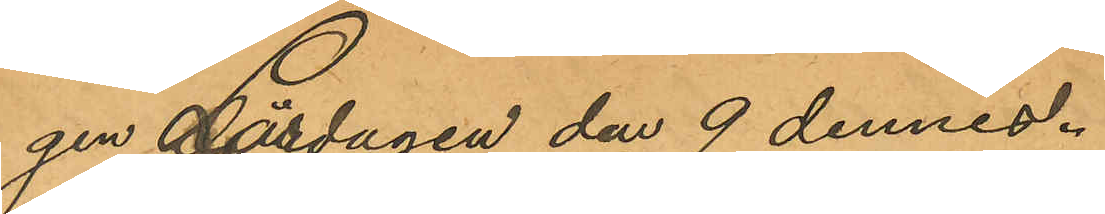gen Lördagen den 9 dennes.
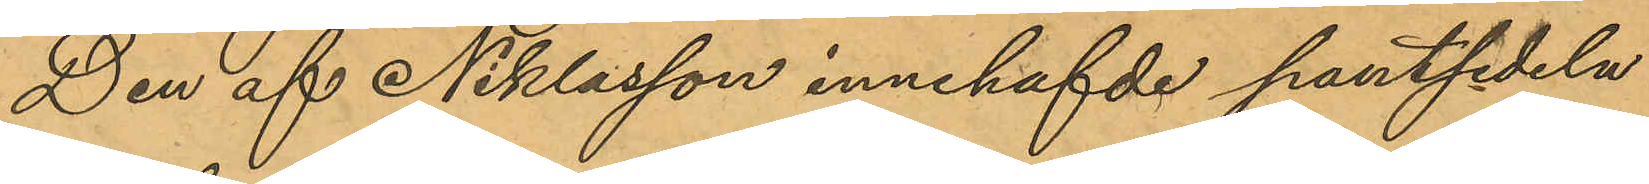Den af Niklasson innehafvde pantsedeln
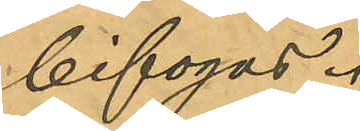bifogas.
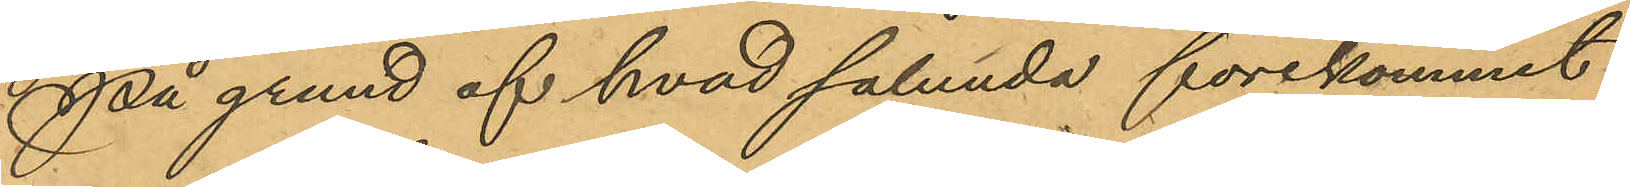På grund af hvad sålunda förekommit
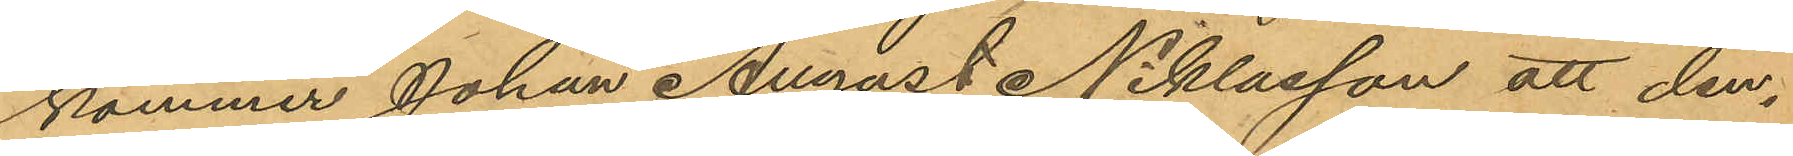kommer Johan August Niklasson att den¬
